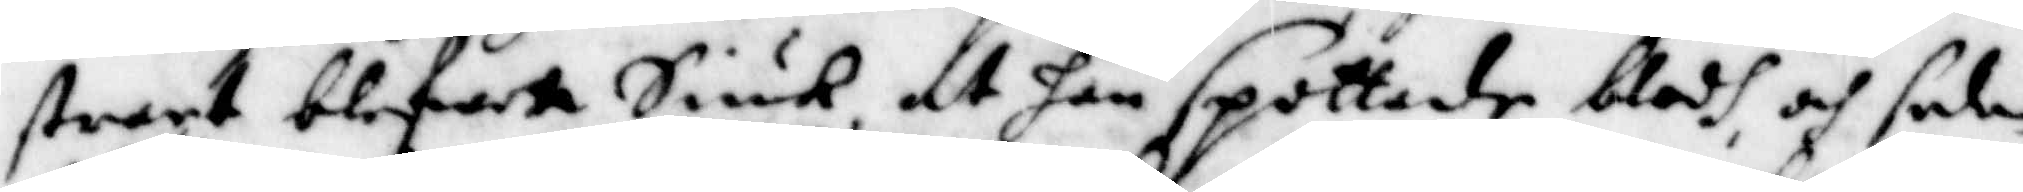stract blefwet Siuk, at han spottade blodh, och sedan
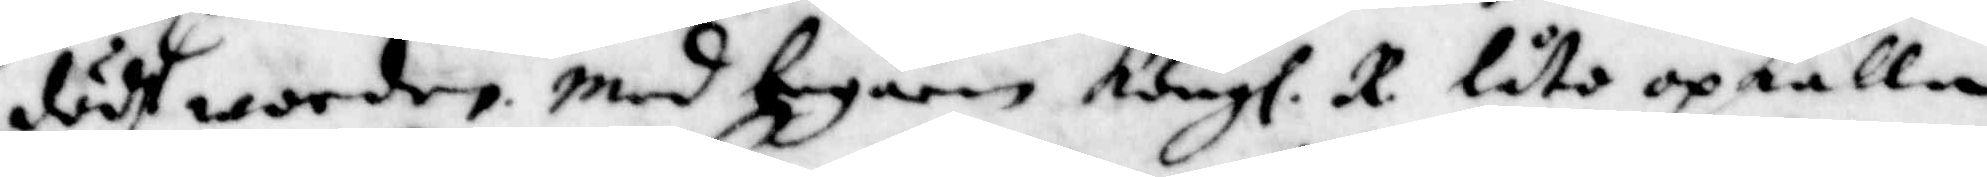dödh warder med begäran Kongl. R. låto opkalla
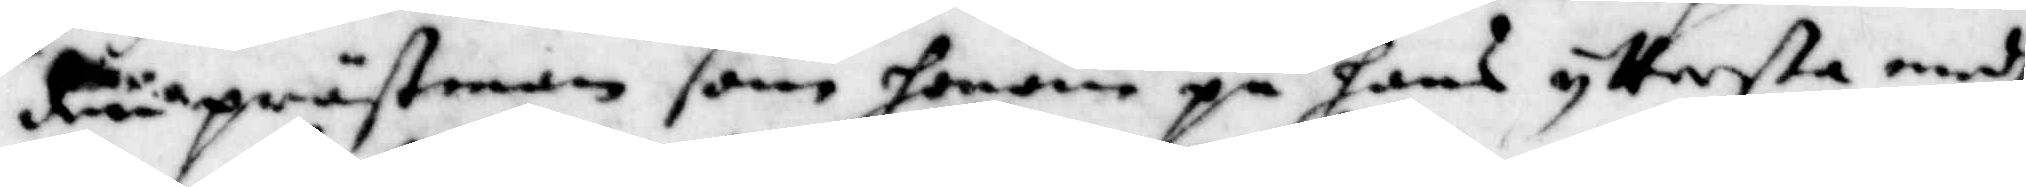den prästenan som honom på hans yttersta medh
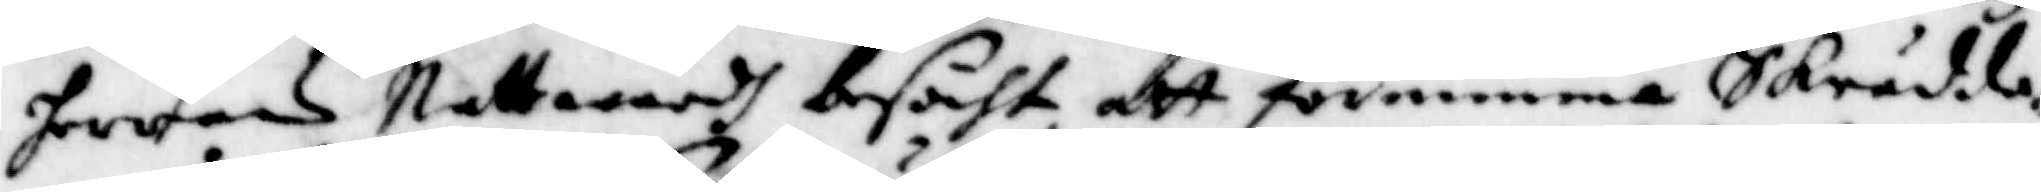herrans Nattwardh besöcht, att förnimma Skrädda¬
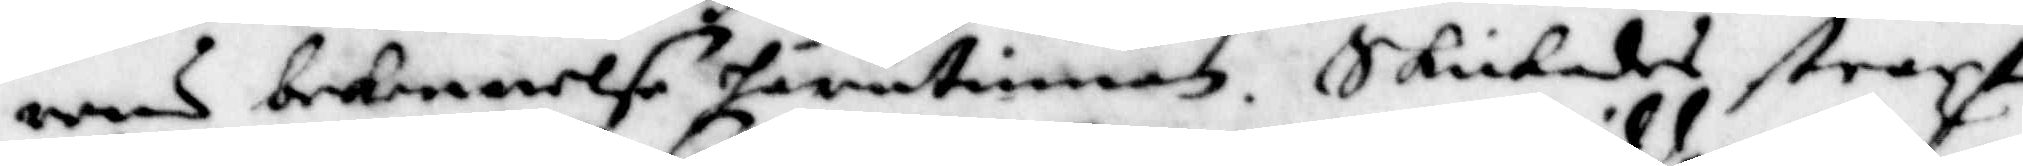rens bekennelse härutinnan. Skickades straxt
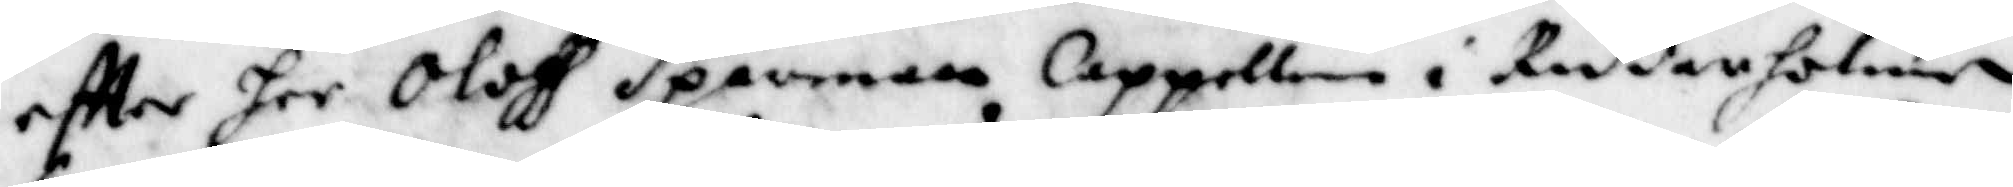eftter her Oloff Sparman Cappellan i Riddarholmen
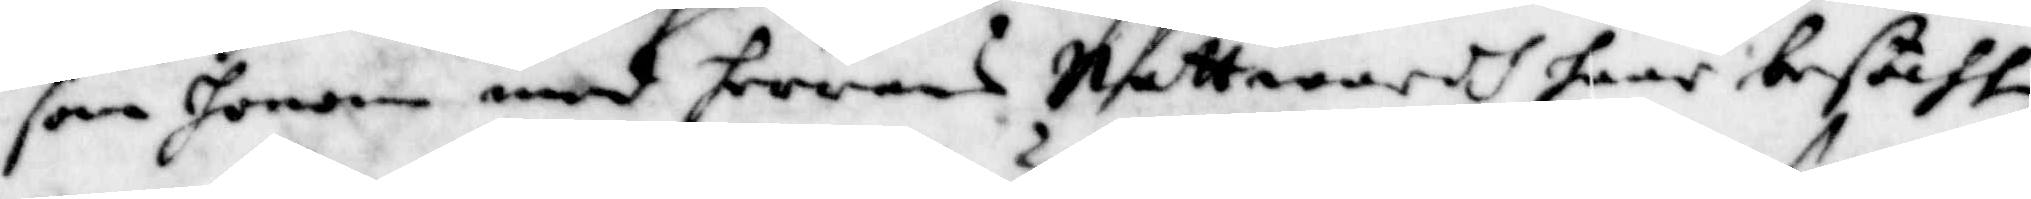som honom med herrans Nattwardh haar besöcht,
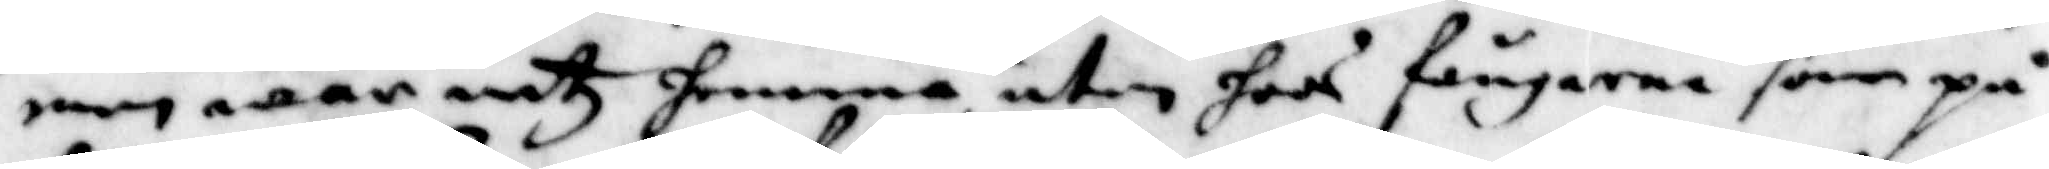men war intz hemma utan hoos fångarna som på
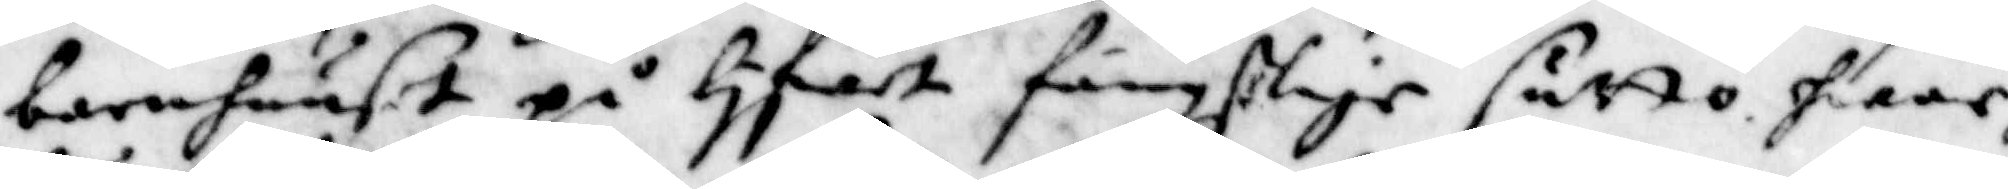barnhuuset på lyfwet fängzlige sutto, hwar 
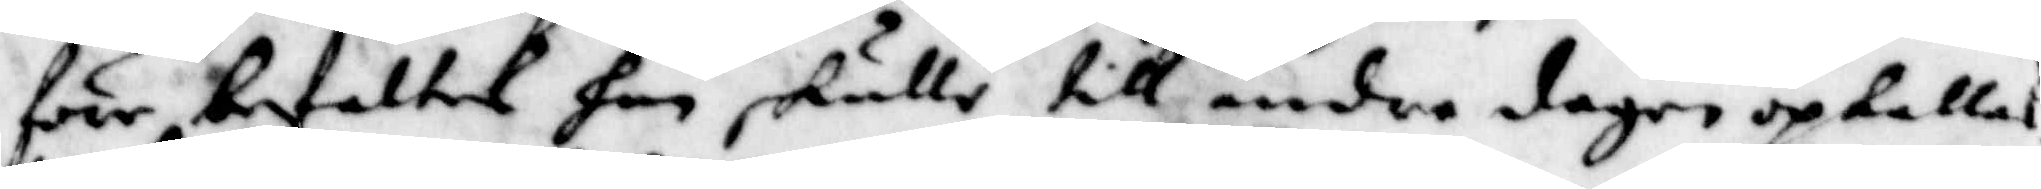före befalltes han skulle till andra dagen opkallas.
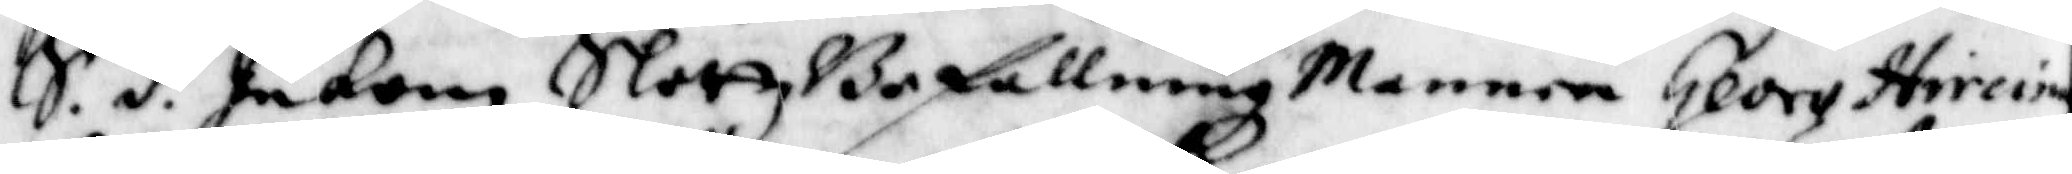S.d. Inkom SlottzBefallningz mannen George Hircin
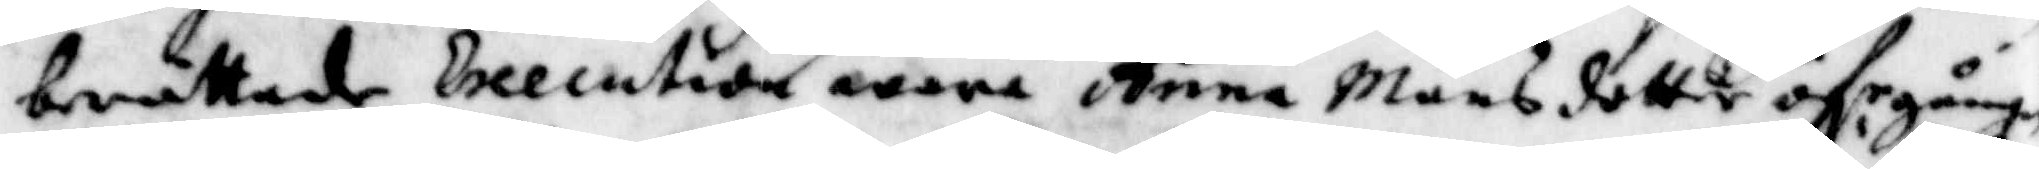berättade Executionen wara Anna Månsdotter öfr gången
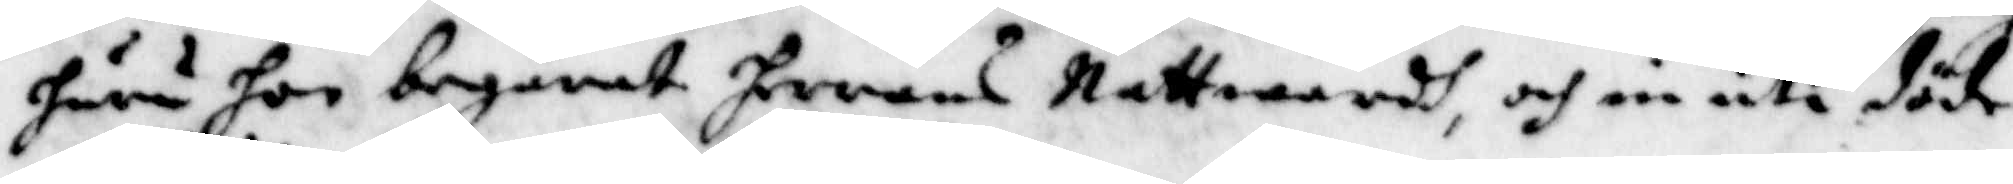huru hon begäret herrans Nattwardh, och in uti döden
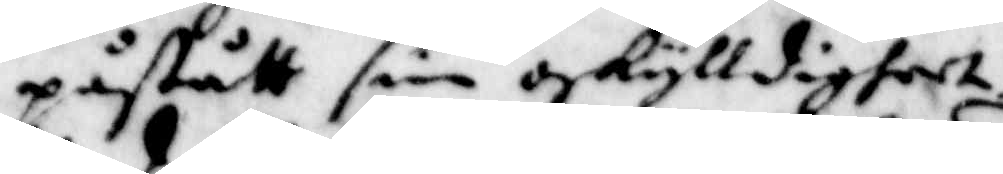påstått sin oskylldighet.
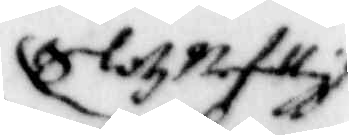Slotz befalligt
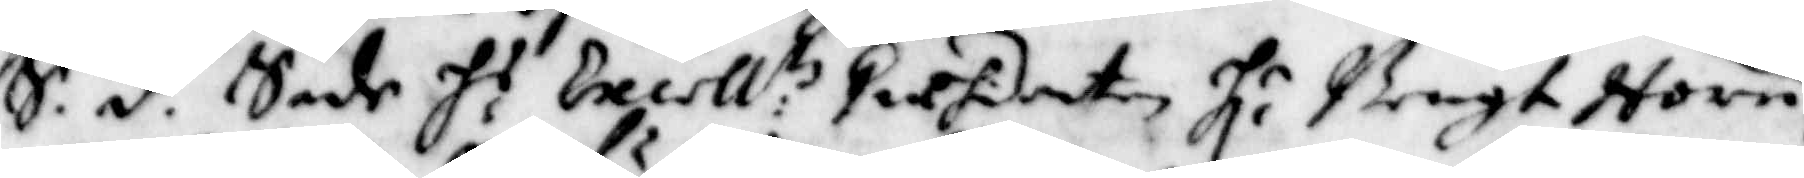S.d. Sade H.r Excell:z Præsidenten H:r Bengt Horn
